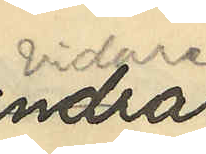vidare
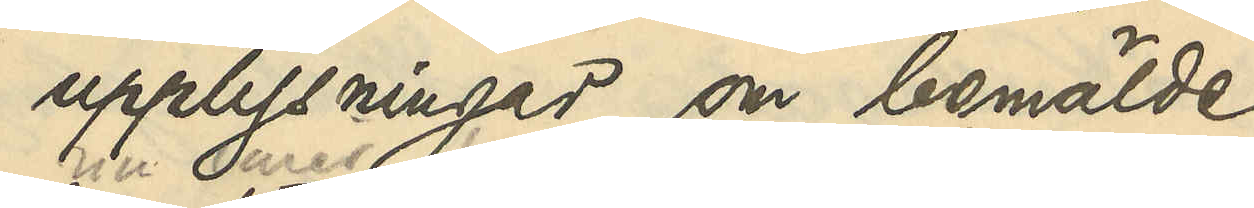upplysningar om bemälde
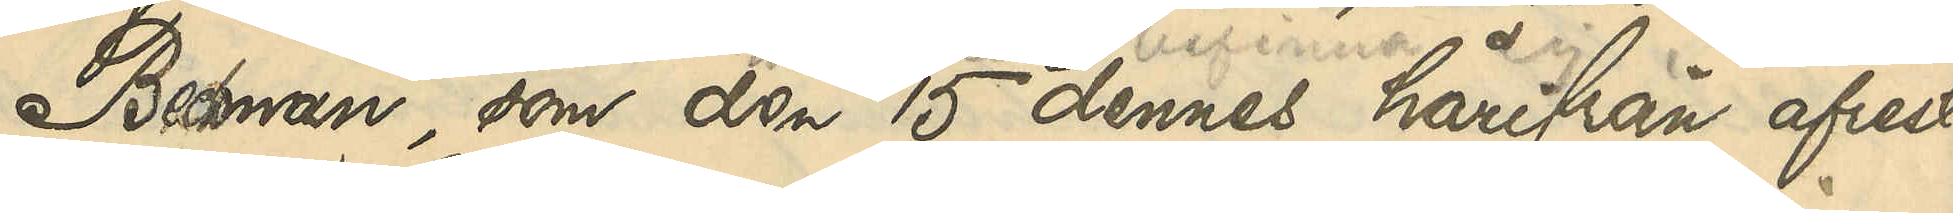Beckman, som den 15 dennes härifrån afrest
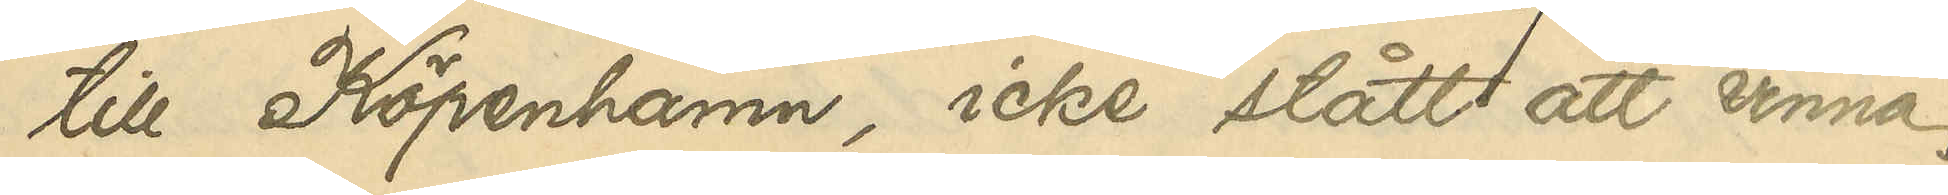till Köpenhamn, icke stått att vinna.
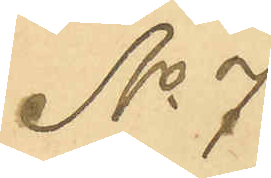No 7
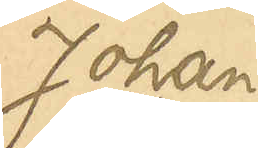Johan
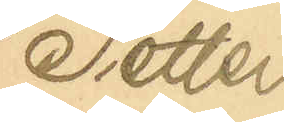Petter
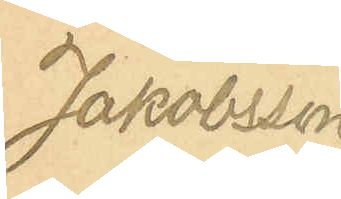Jakobsson
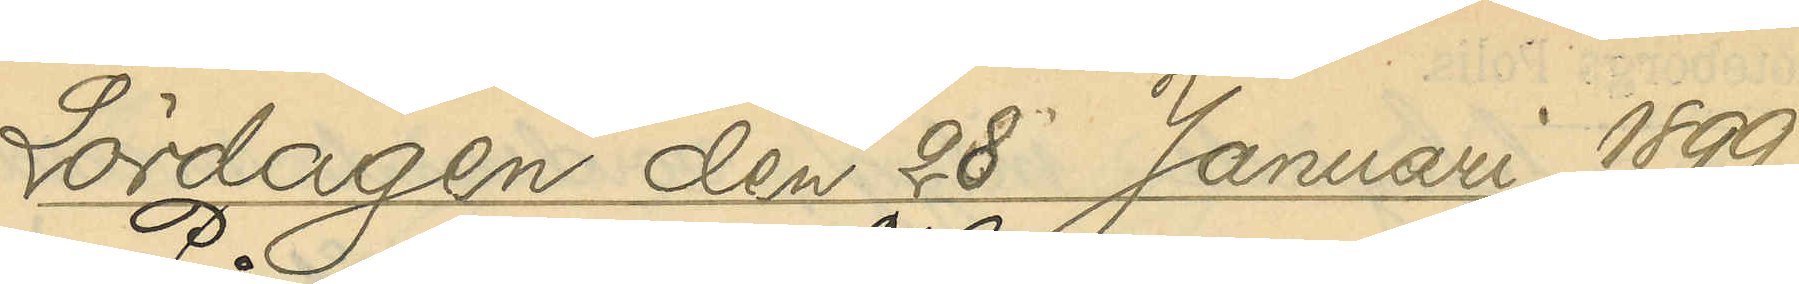Lördagen den 28 Januari 1899.
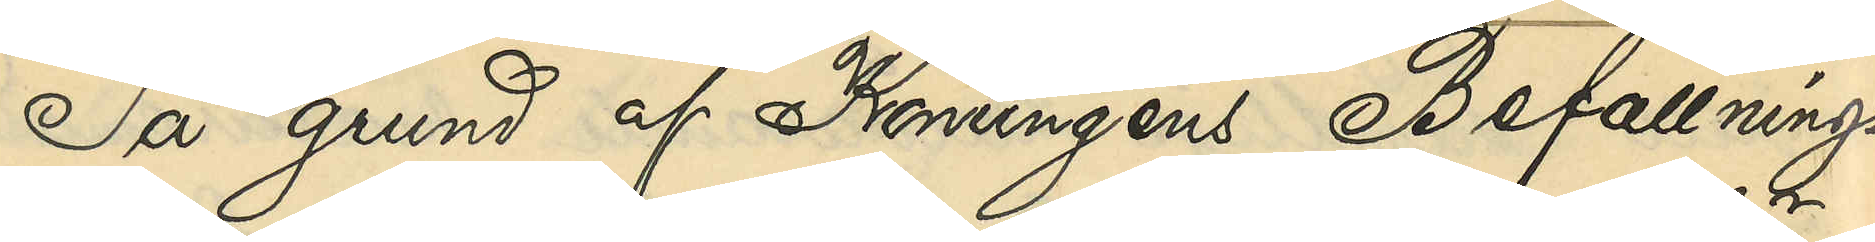På grund af Konungens Befallnings¬
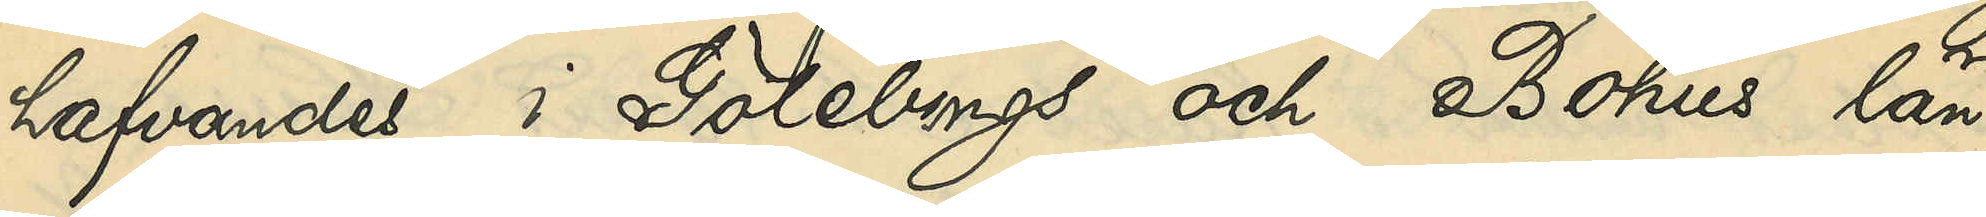hafvandes i Göteborgs och Bohus län
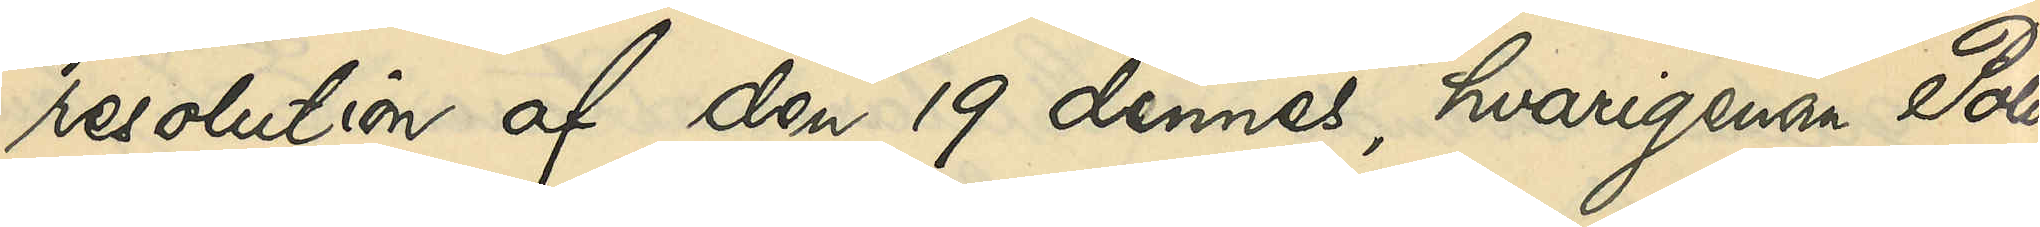resolution af den 19 dennes, hvarigenom Polis¬
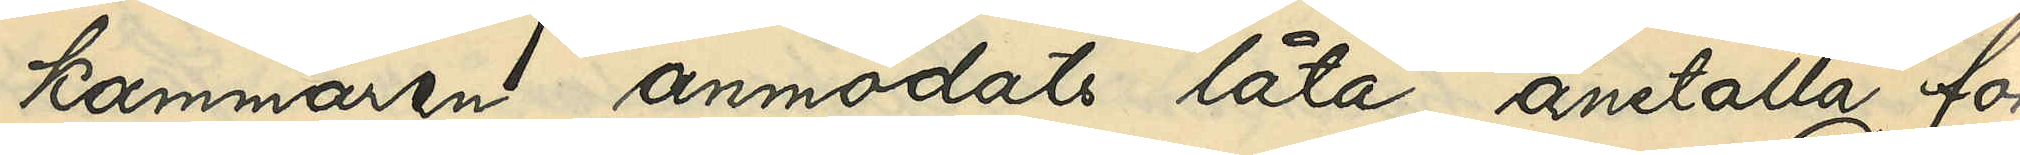kammaren anmodats låta anställa för¬
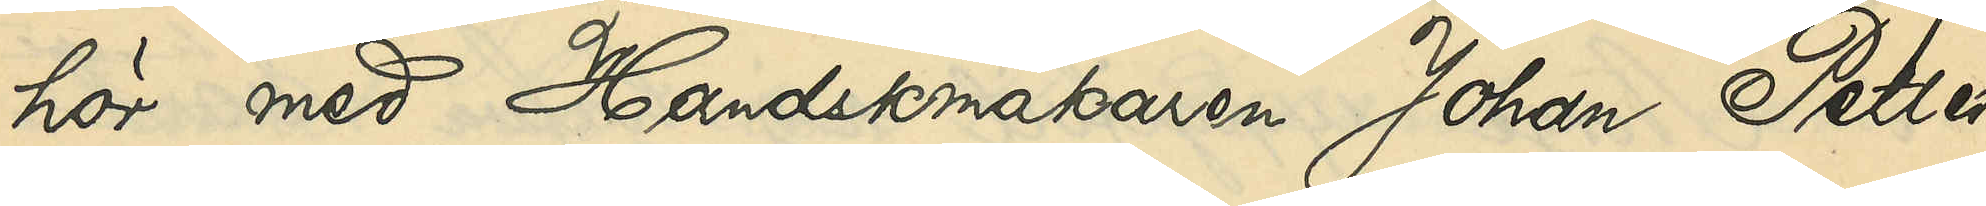hör med Handskmakaren Johan Petter
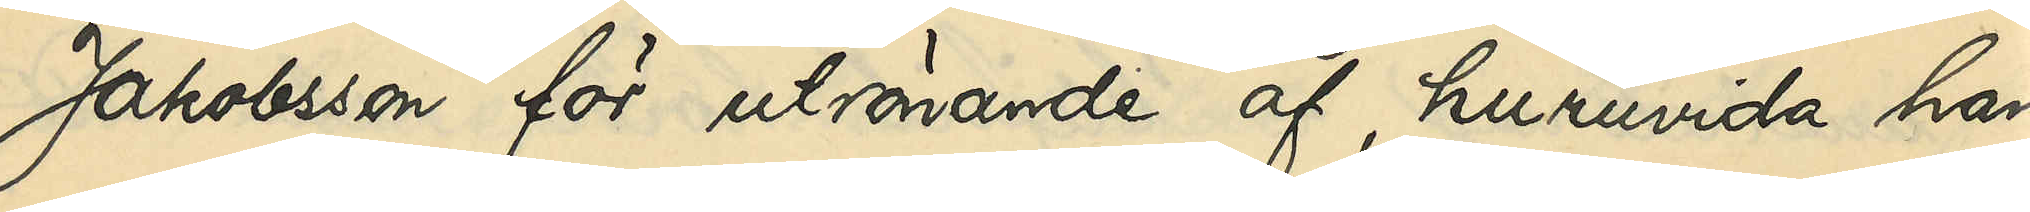Jakobsson för utrönande af, huruvida han
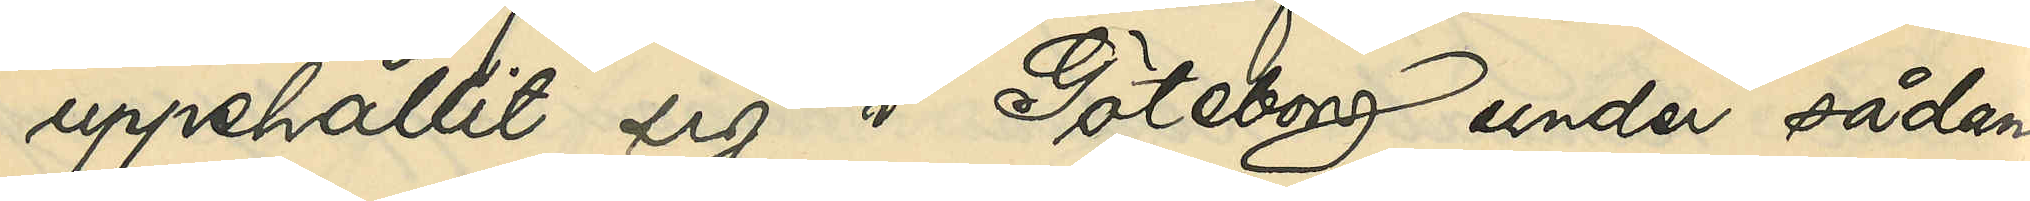uppehållit sig i Göteborg under sådan
